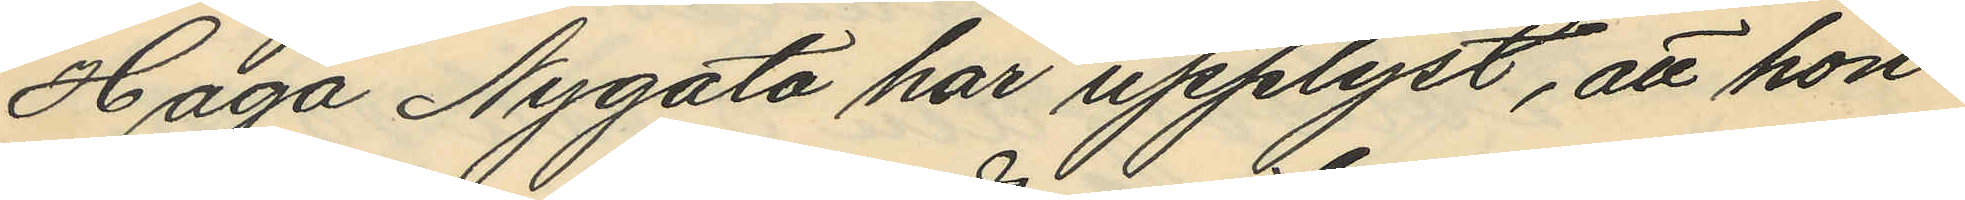Haga Nygata har upplyst, att hon
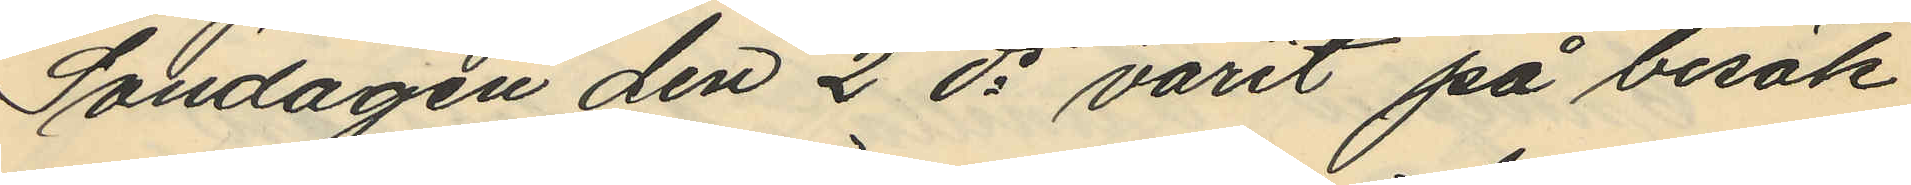Söndagen den 2 ds varit på besök
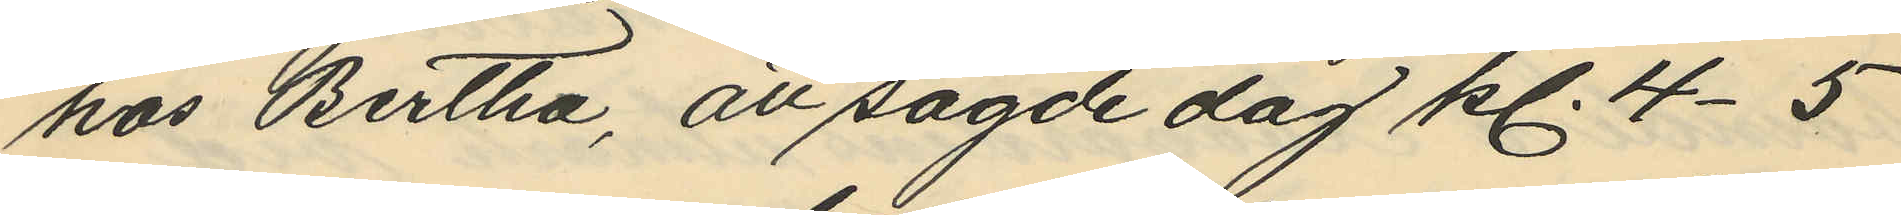hos Bertha, att sagde dag kl. 4-5
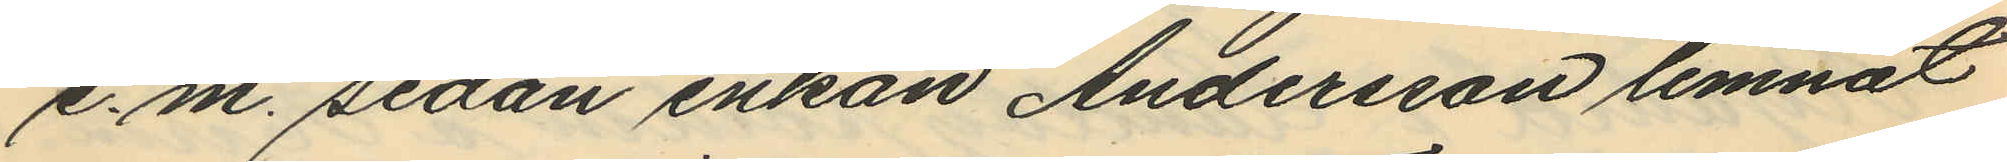e.m. sedan enkan Andersson lemnat
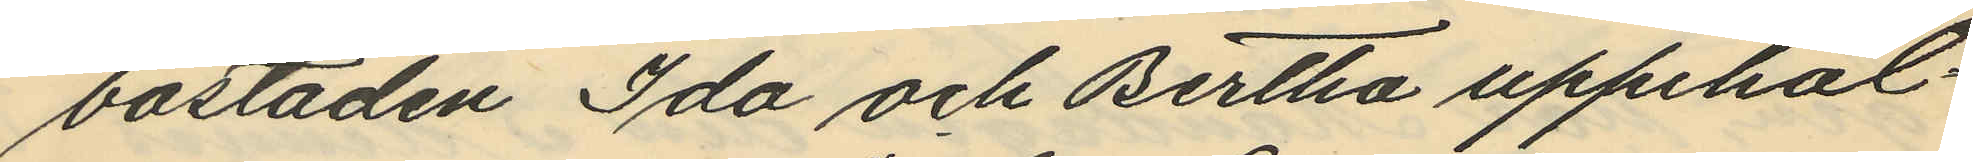bostaden Ida och Bertha uppehål¬
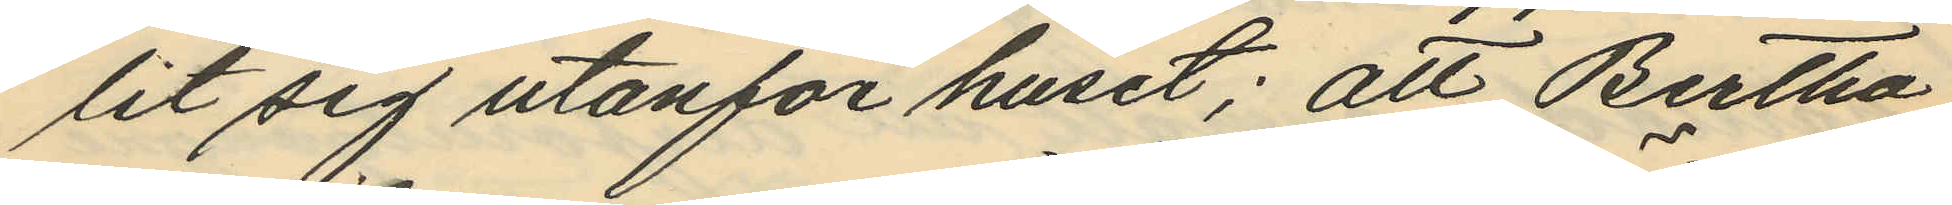lit sig utanför huset; att Bertha
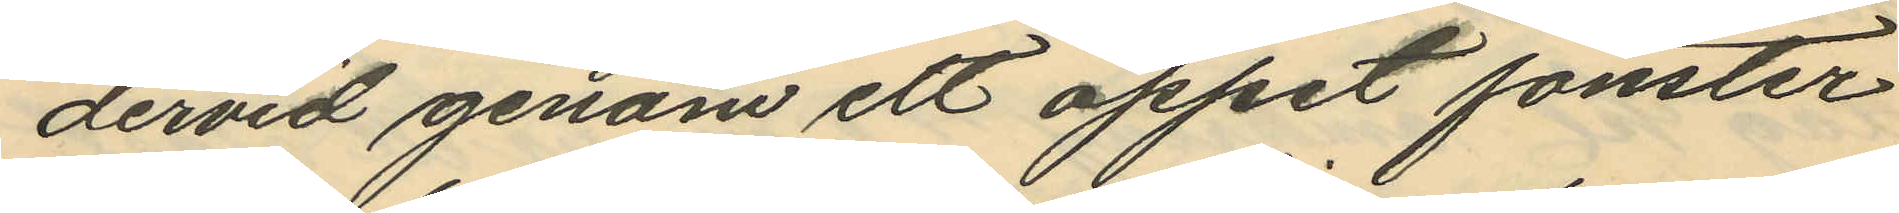dervid genom ett öppet fönster
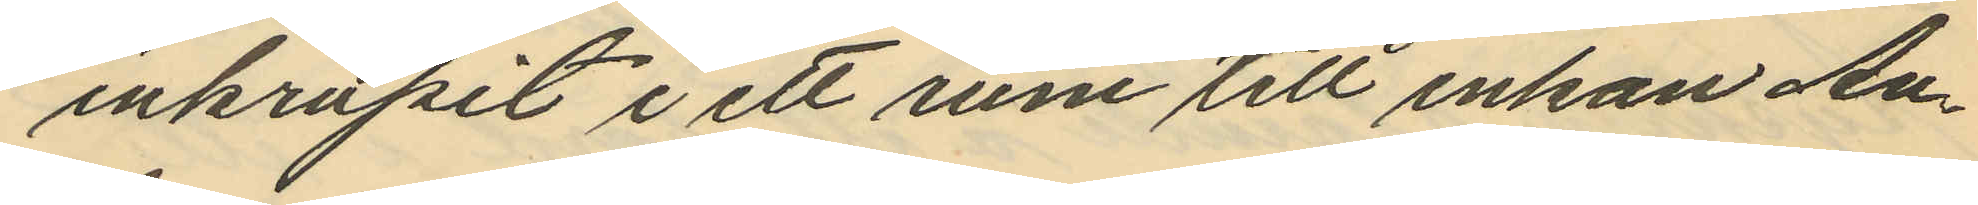inkrupit i ett rum till enkan An¬
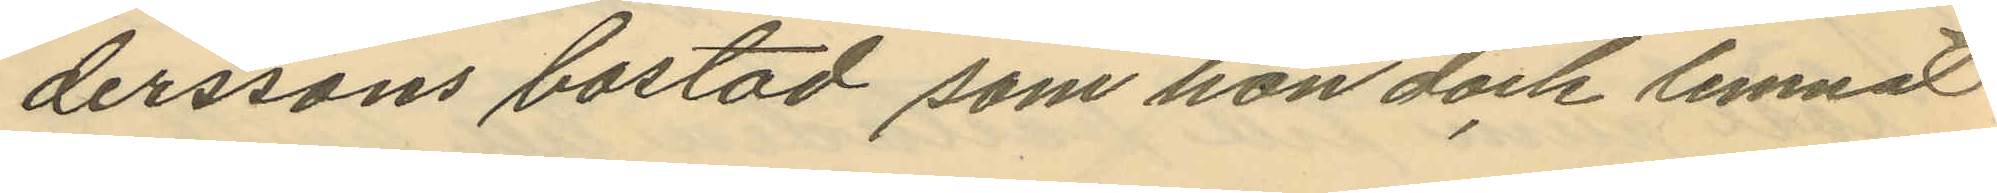derssons bostad som hon dock lemnat
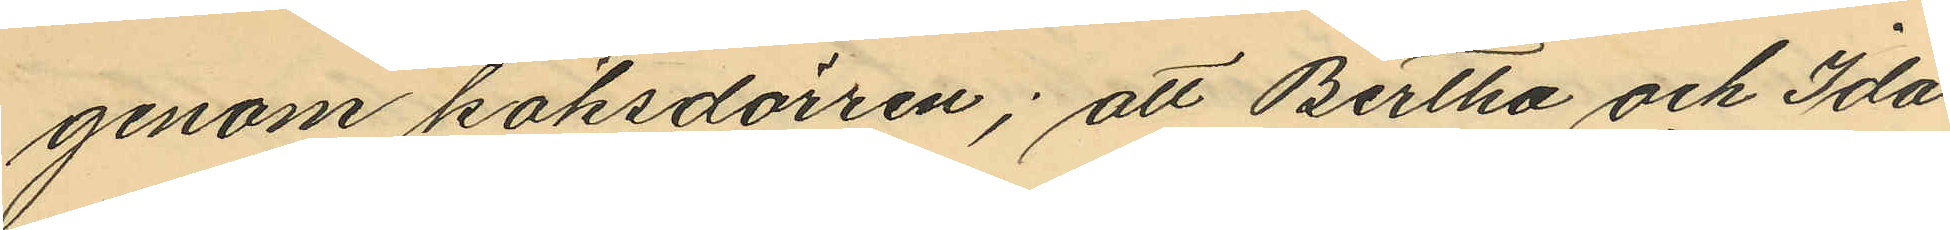genom köksdörren; att Bertha och Ida
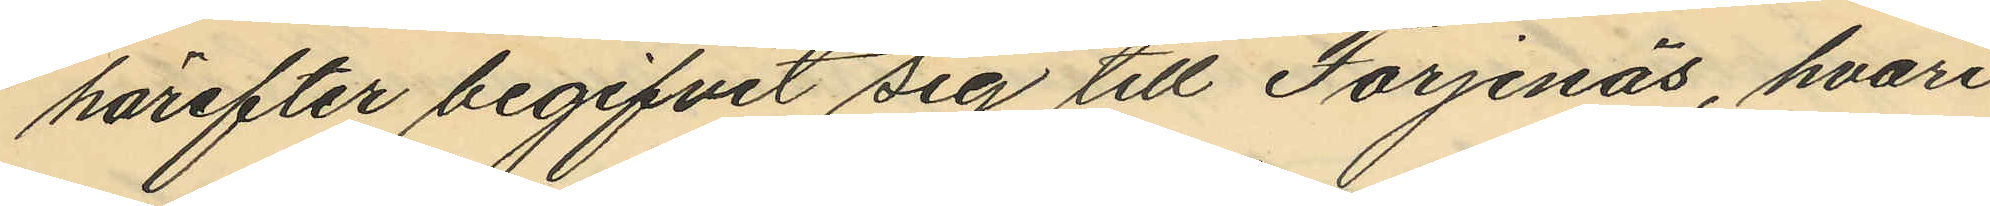härefter begifvit sig till Färjenäs, hvari
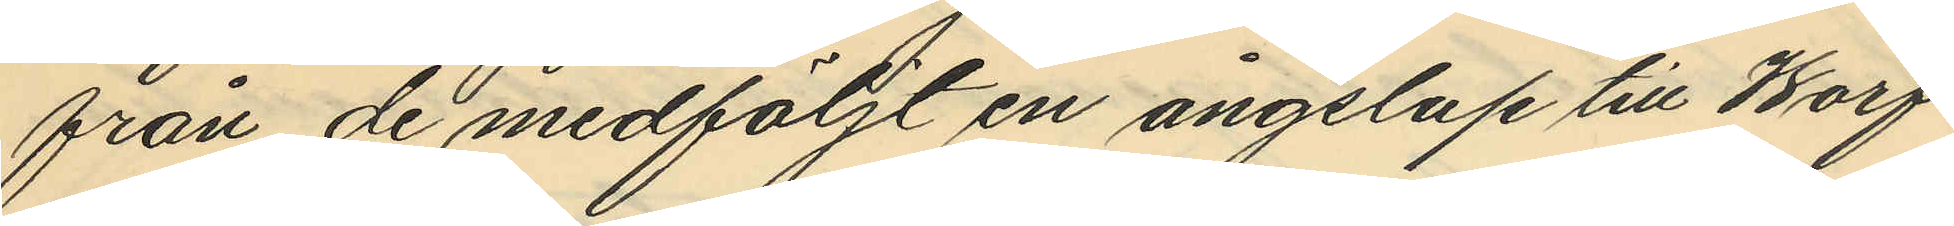från de medföljt en ångslup till Warf¬
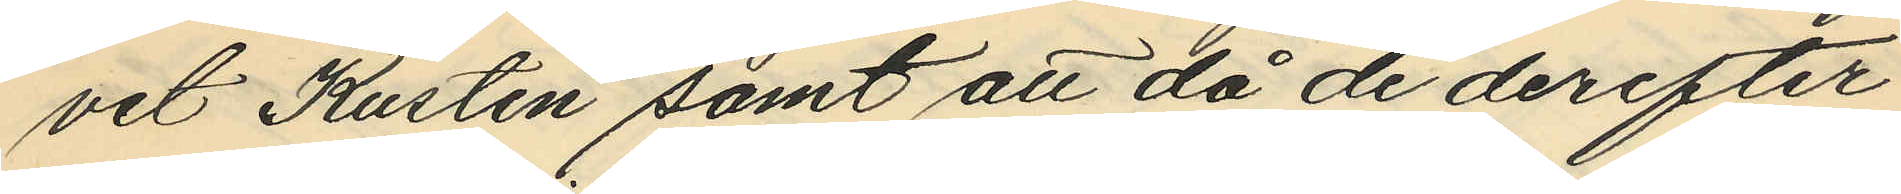vet Kusten samt att då de derefter
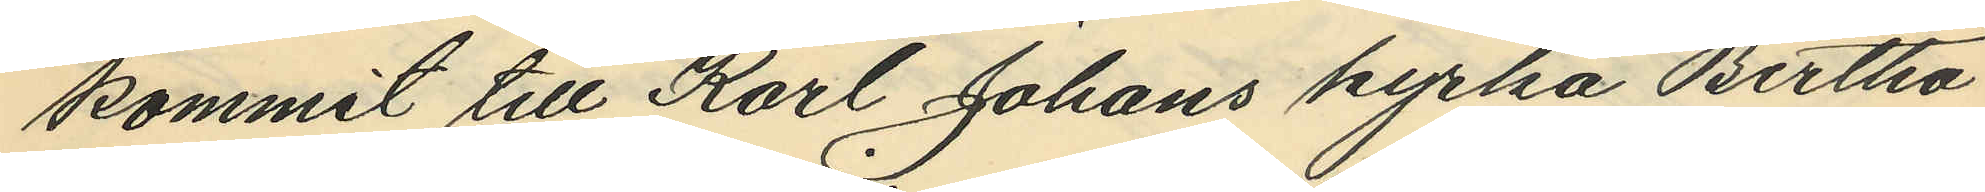kommit till Karl Johans kyrka Bertha
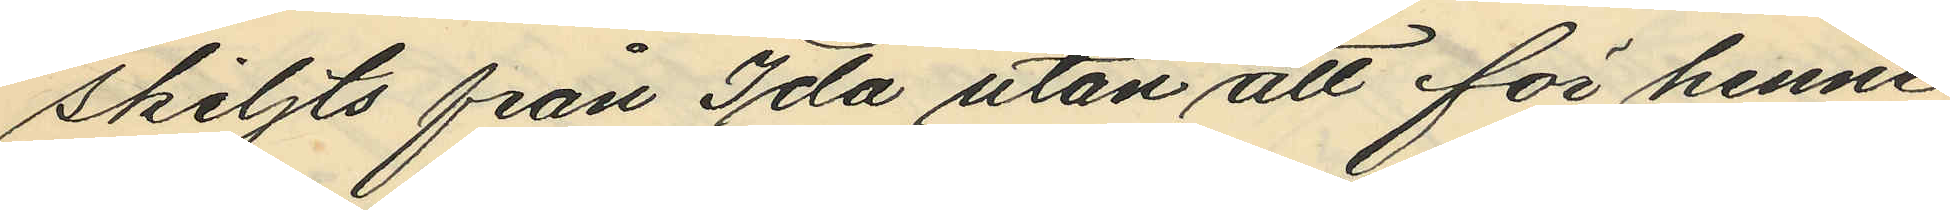skiljts från Ida utan att för henne
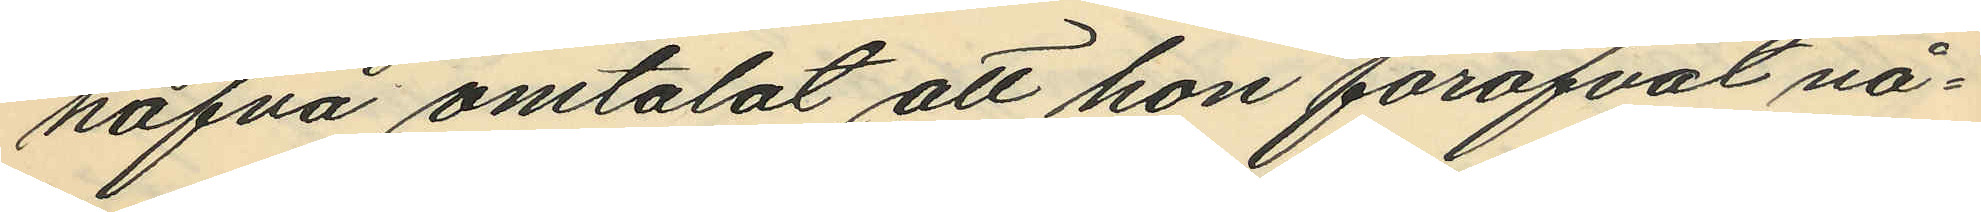hafva omtalat att hon föröfvat nå¬
